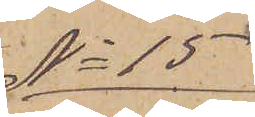No 15
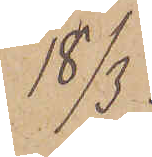18/3.
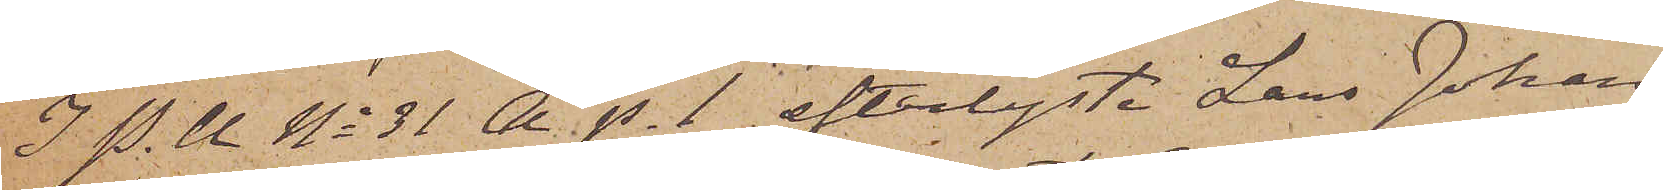I P. U No 31 A p. 1 efterlyste Lars Johan
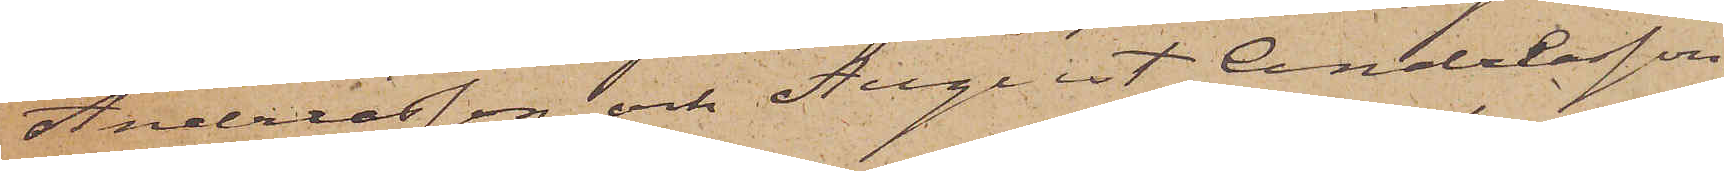Andersson och August Andersson
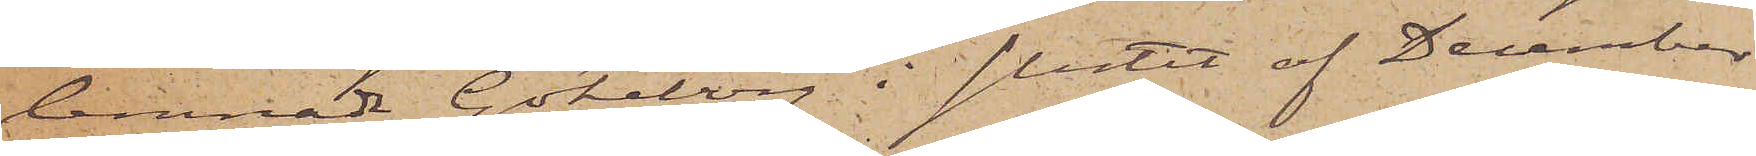lemnade Göteborg i slutet af December
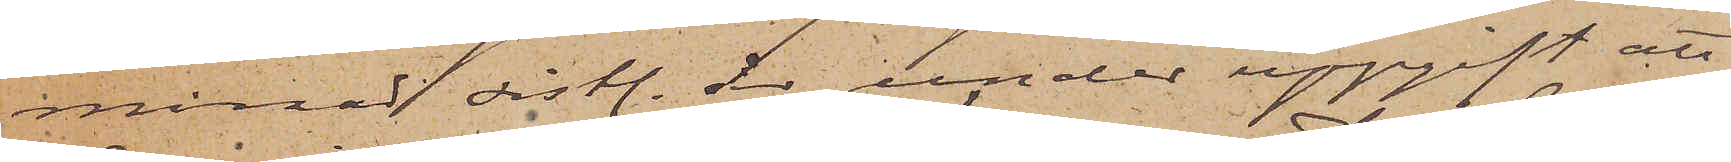månad sistl. år, under uppgift att
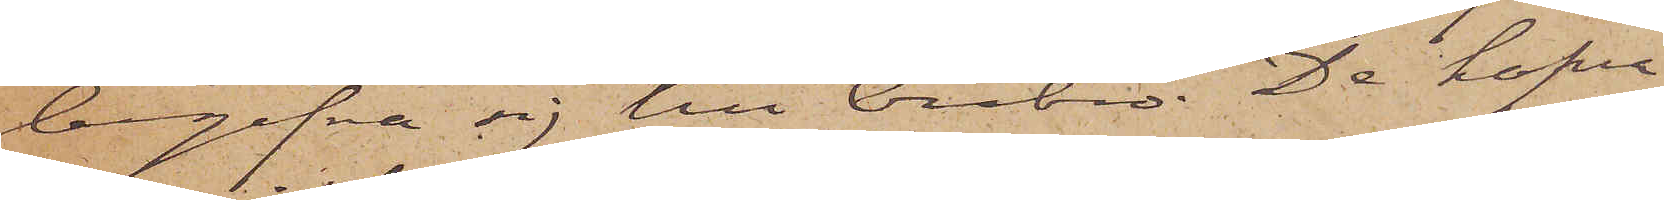begifva sig till Örebro. De hafva
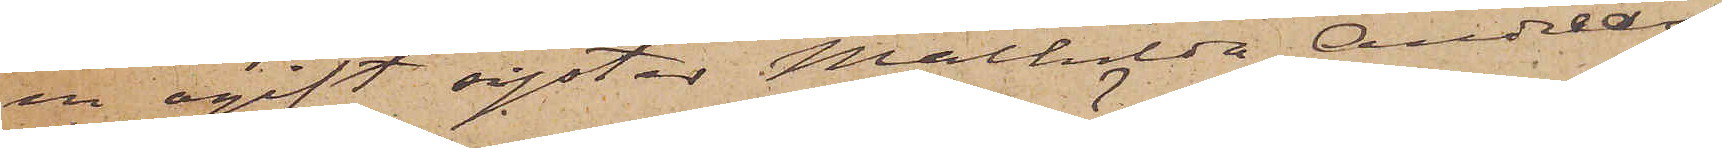en ogift syster Mathilda Anders¬
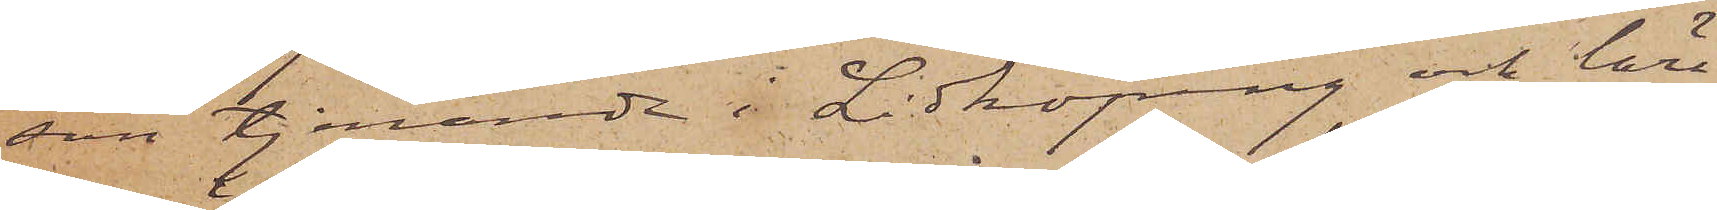son tjenande i Lidköping och lära
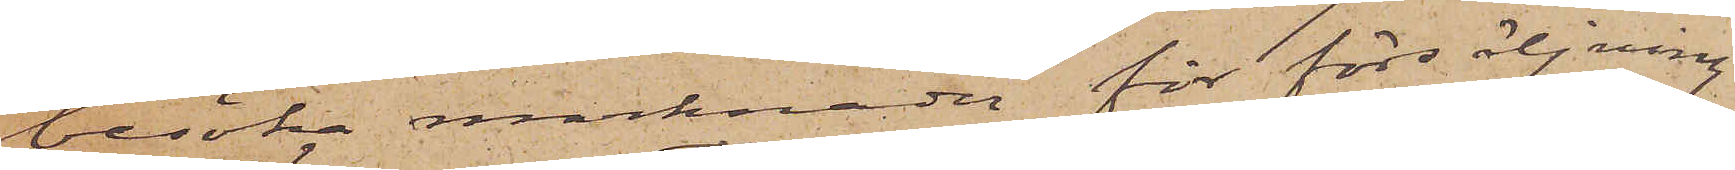besöka marknader för försäljning
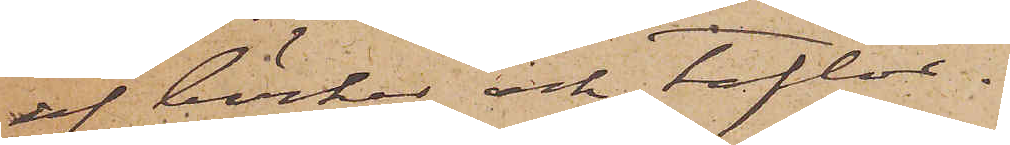af böcker och taflor.
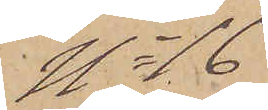No 16
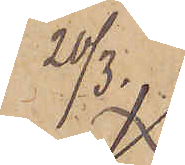20/3.
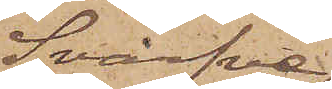Svarfve¬
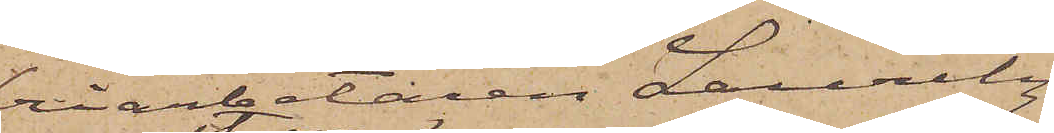riarbetaren Lauritz
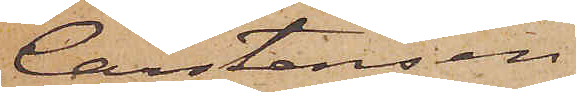Carstensen
